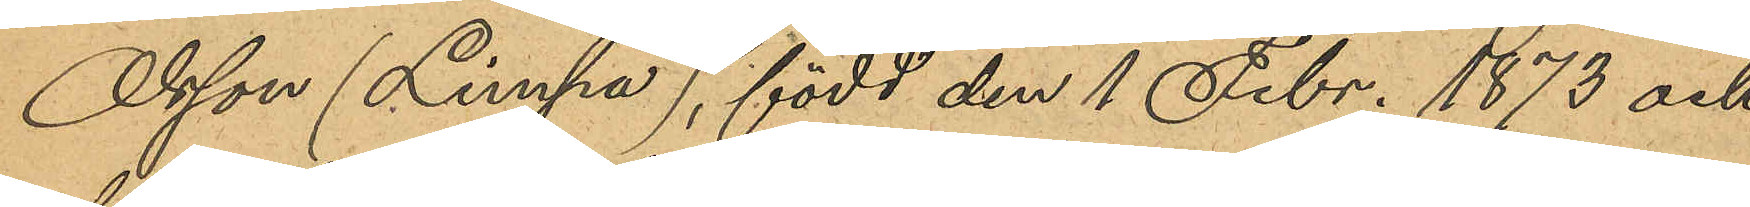Olsson (Limpa), född den 1 Febr. 1873 och
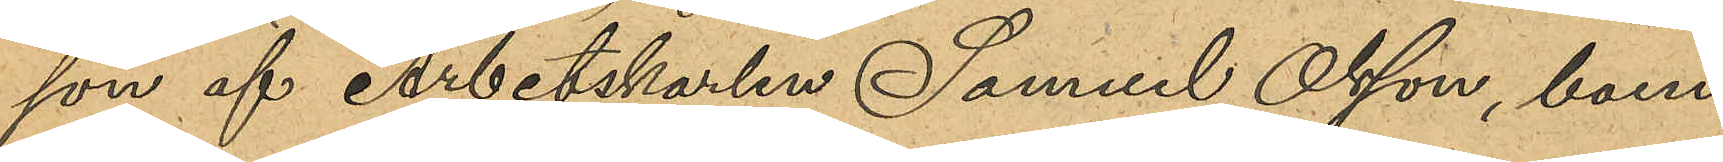son af Arbetskarlen Samuel Olsson, boen¬
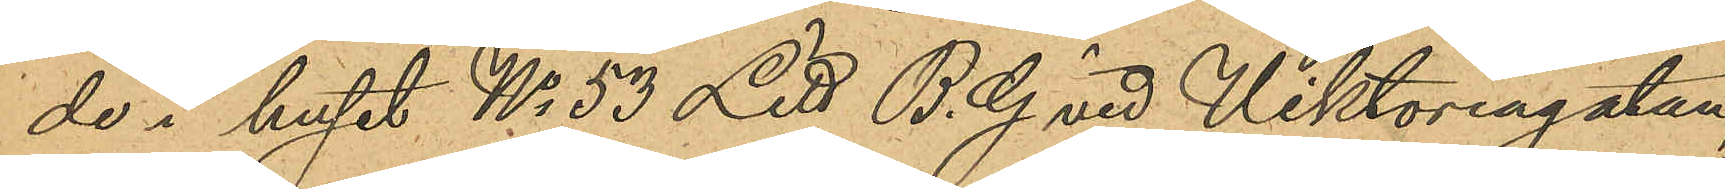de i huset No 53 Litt B. G vid Viktoriagatan,
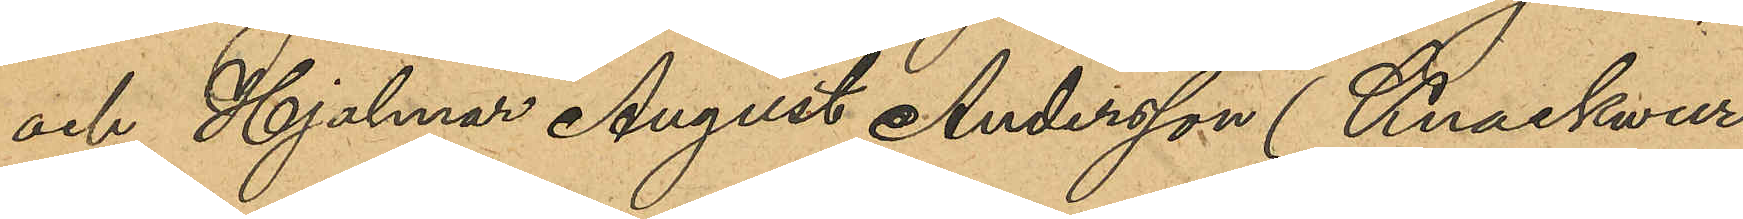och Hjalmar August Andersson (Knaskwar¬
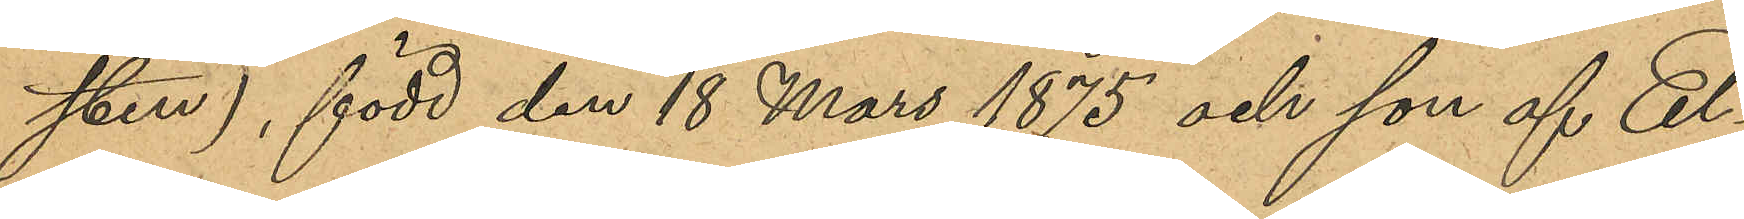sten), född den 18 mars 1875 och son af El¬
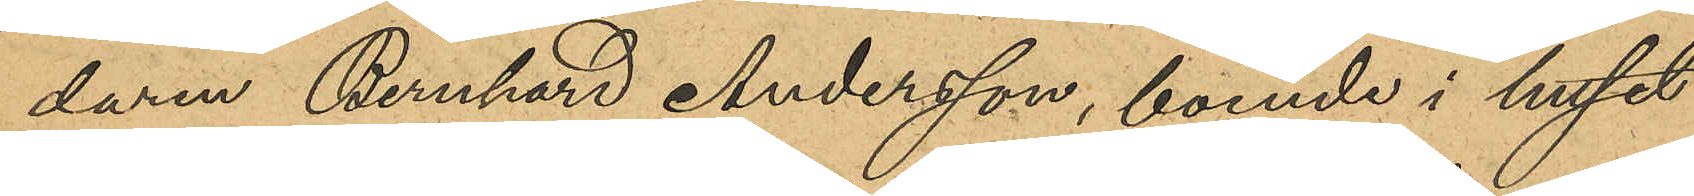daren Bernhard Andersson, boende i huset
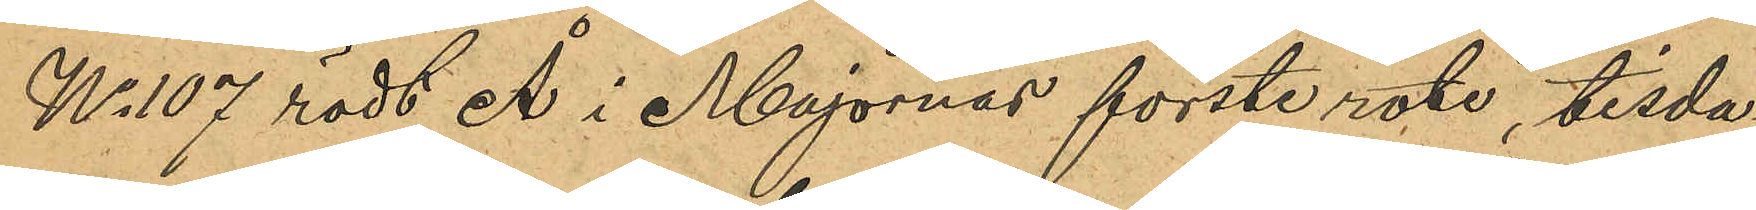No 107 rödt Å i Majornas förste rote, tisda¬
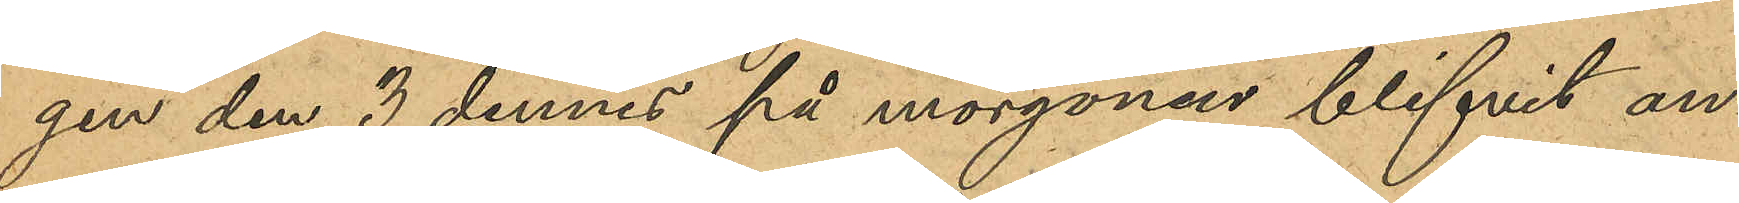gen den 3 dennes på morgonen blifvit an¬
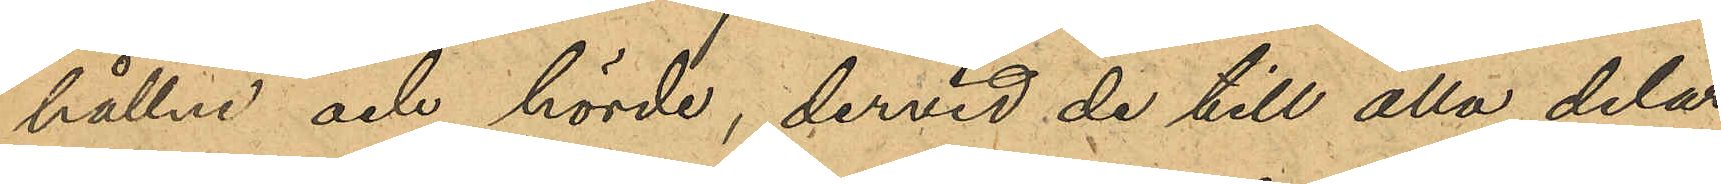hållne och hörde, dervid de till alla delar
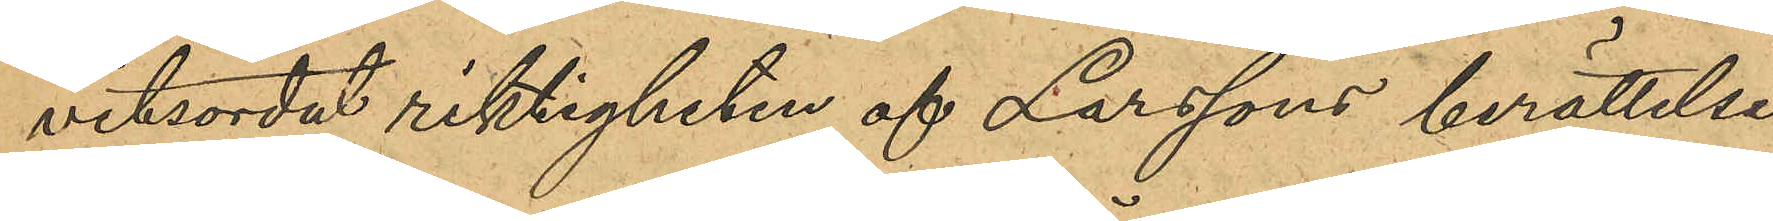vitsordat riktigheten af Larssons berättelse
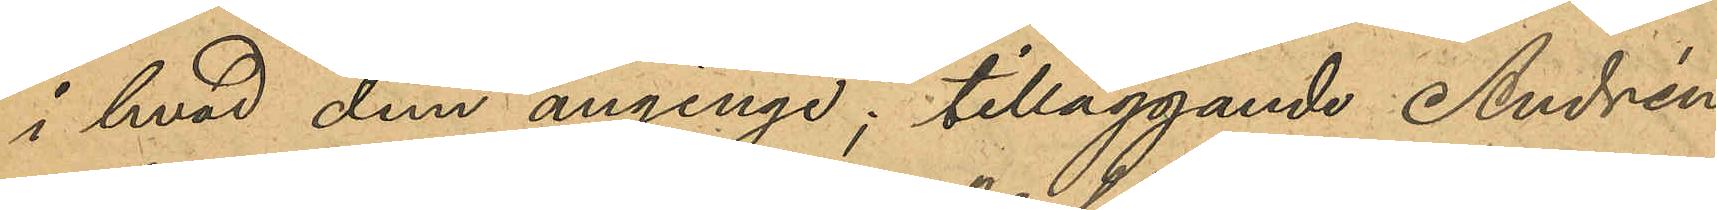i hvad dem anginge; tilläggande Andrén
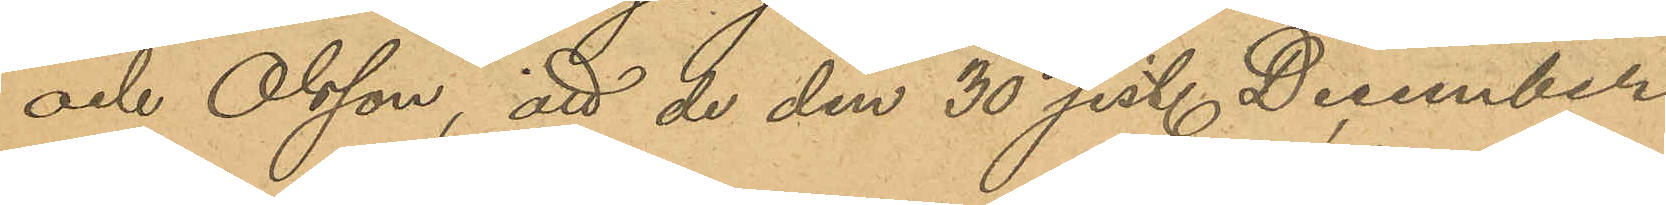och Olsson, att de den 30 sist. December
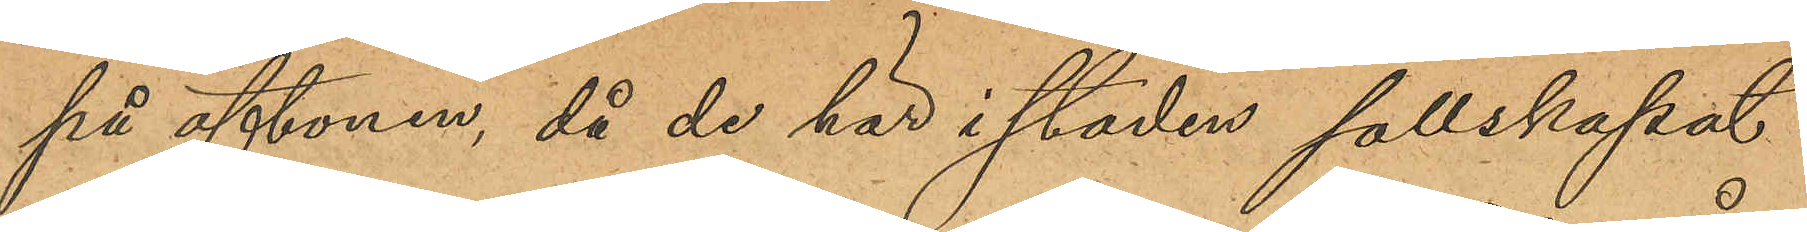på aftonen, då de här i staden sällskapat
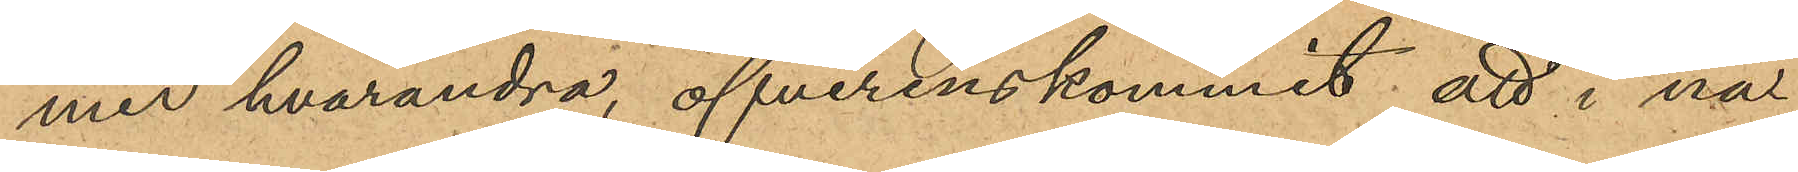med hvarandra, öfverenskommit att i nå¬
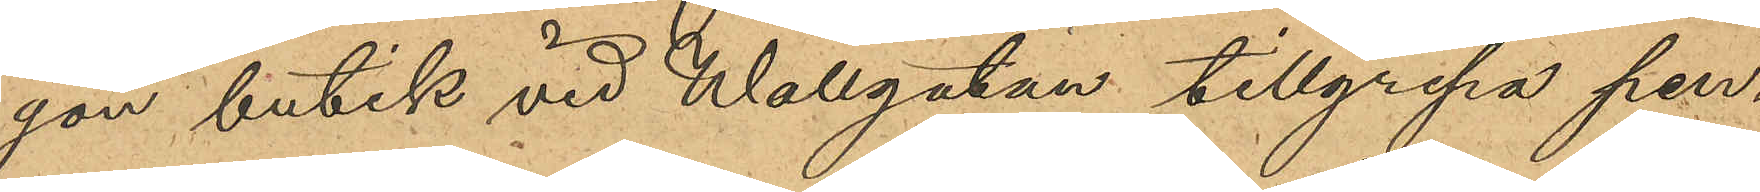gon butik vid Wallgatan tillgripa pen¬
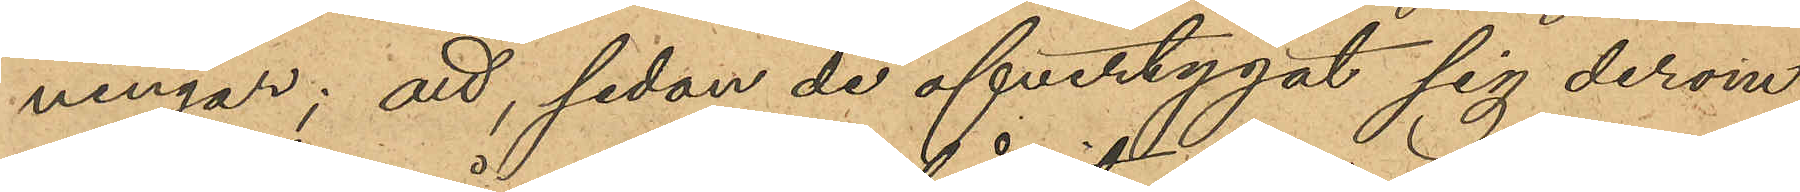ningar; att, sedan de öfvertygat sig derom
